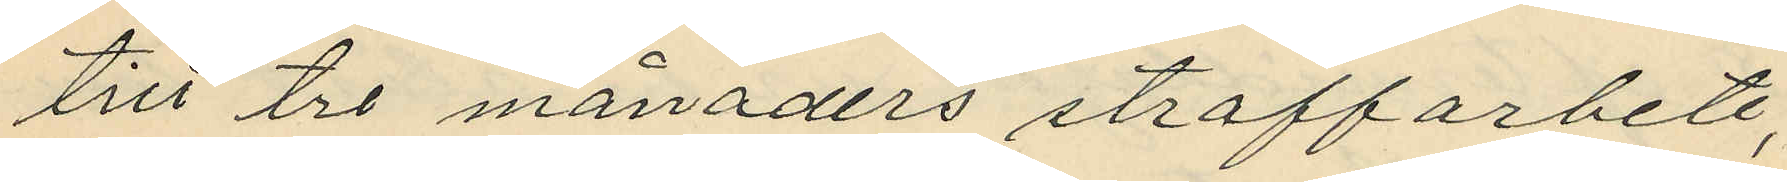till tre månaders straffarbete;
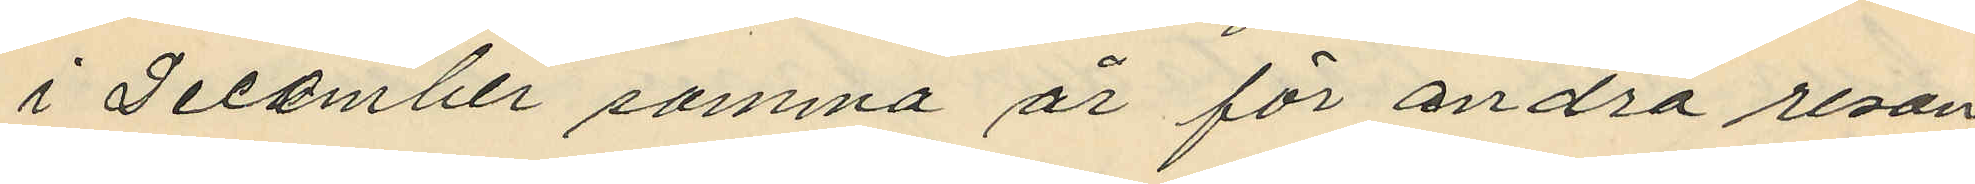i December samma år för andra resan
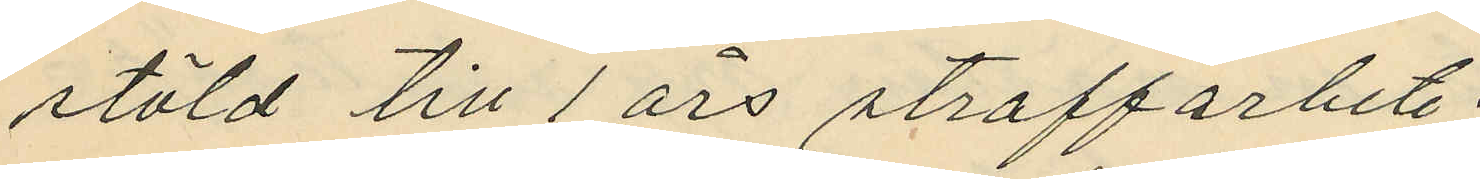stöld till 1 års straffarbete;
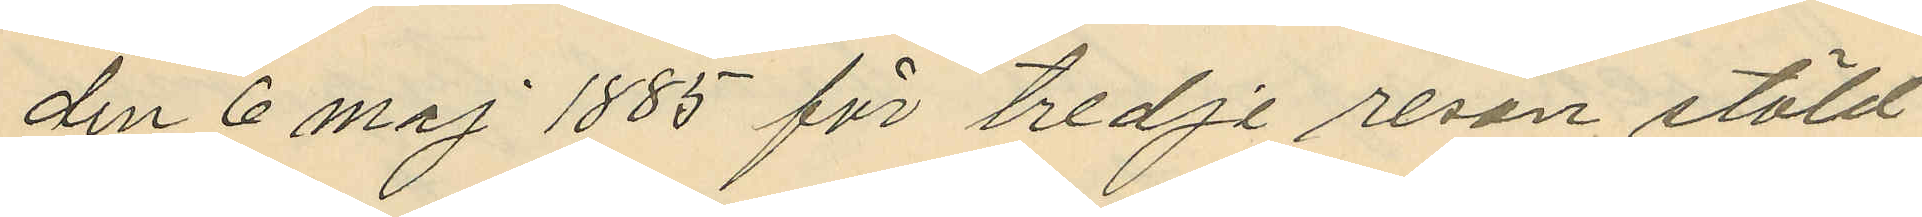den 6 Maj 1885 före tredje resan stöld
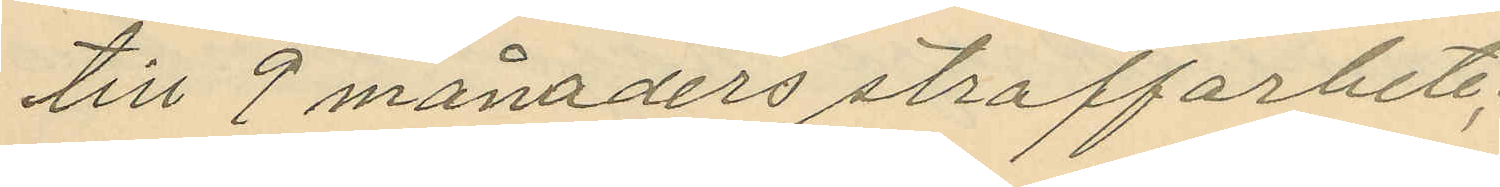till 9 månaders straffabete;
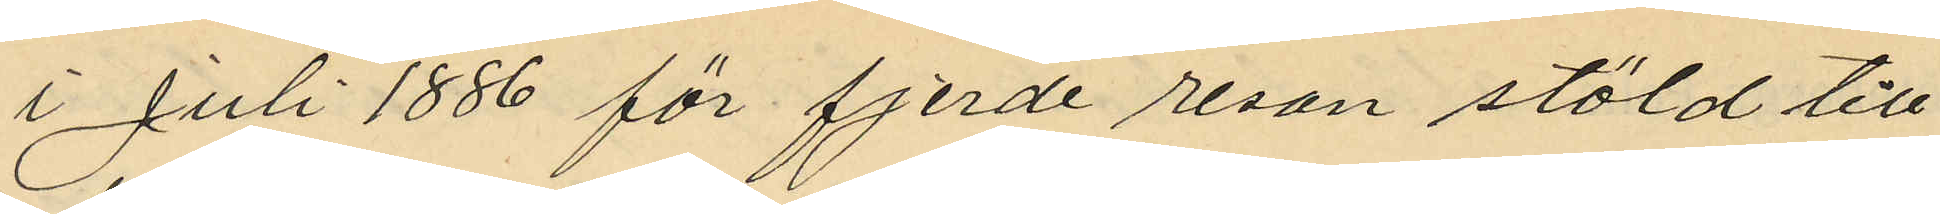i Juli 1886 för fjerde resan stöld till
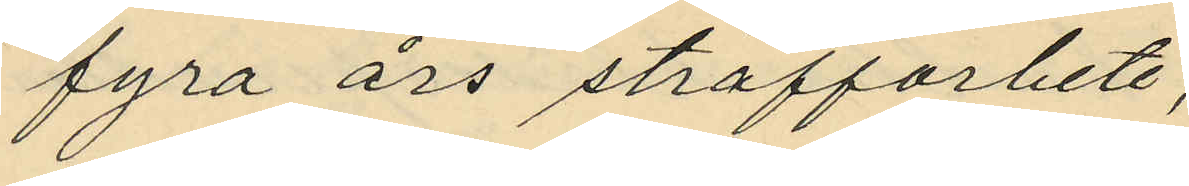fyra års straffarbete;
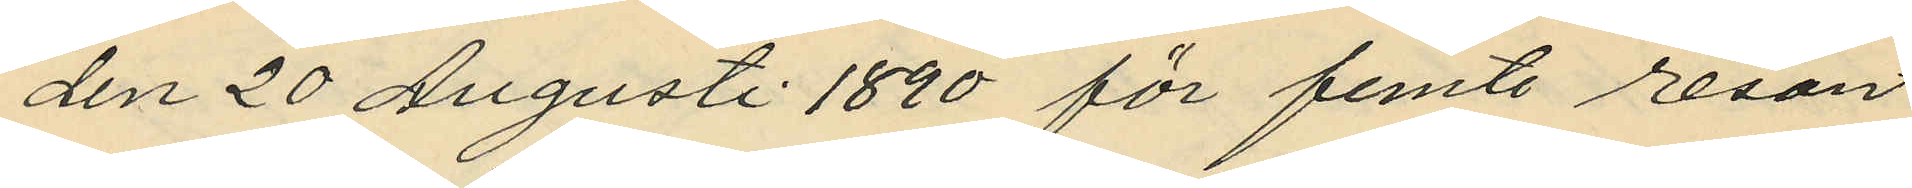den 20 Augusti 1890 för femte resan
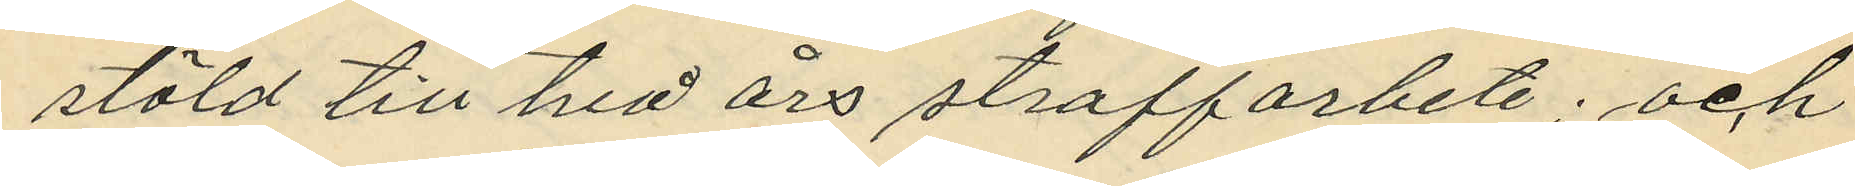stöld till två års straffarbete; och
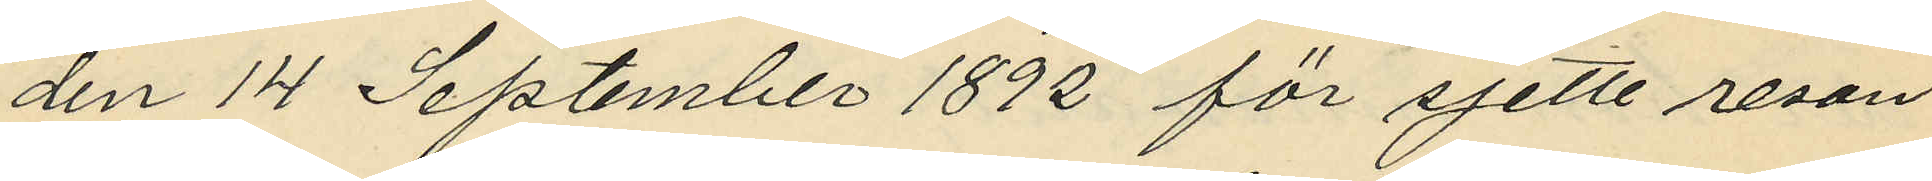den 14 September 1892 för sjette resan
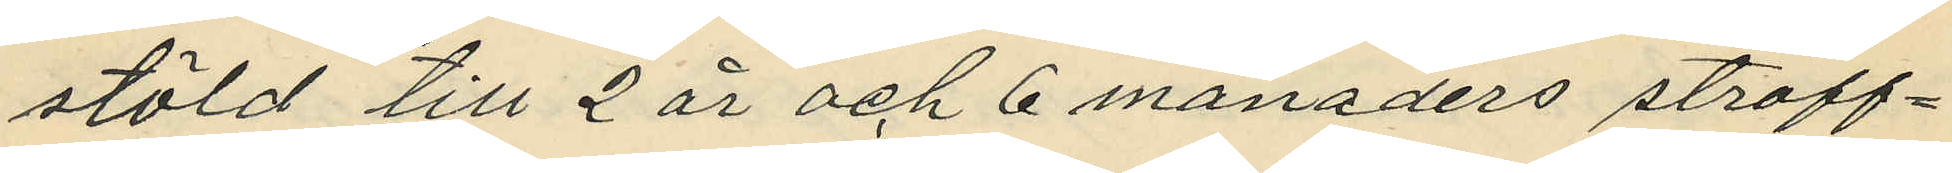stöld till 2 år och 6 månaders straff¬
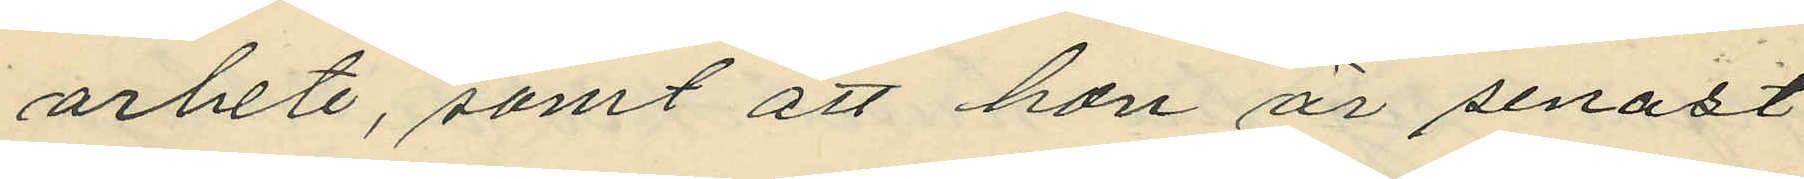arbete, samt att hon är senast
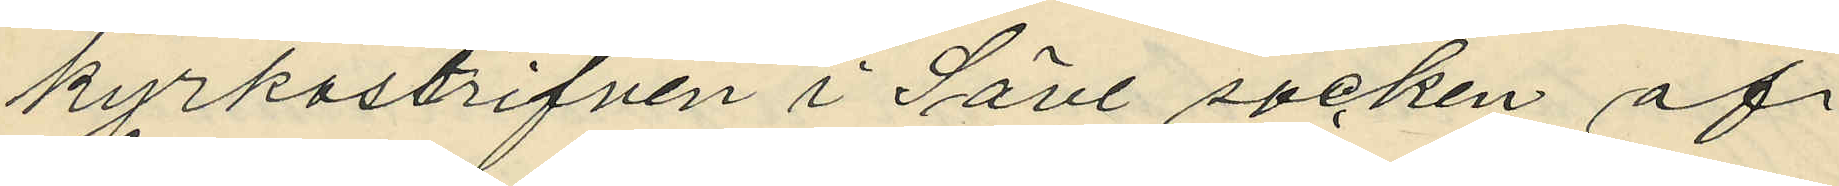kyrkoskriven i Säve socken af
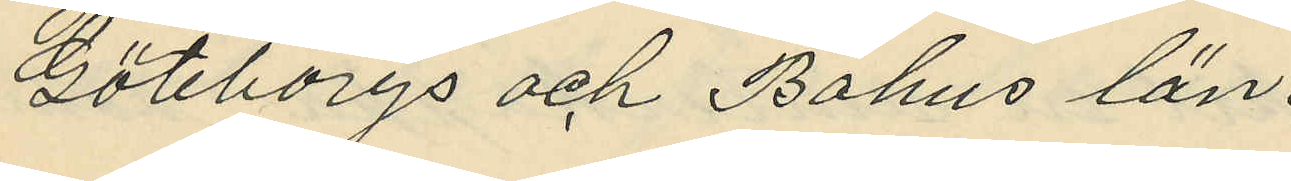Göteborgs och Bohus län.
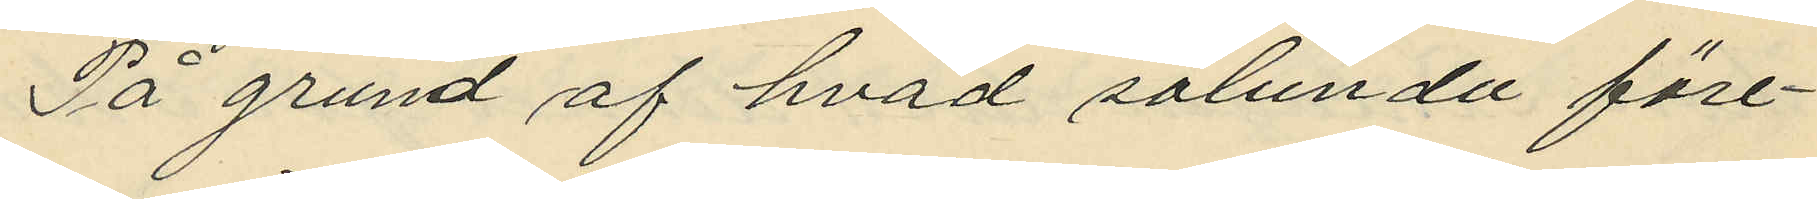På grund af hvad sålunda före¬
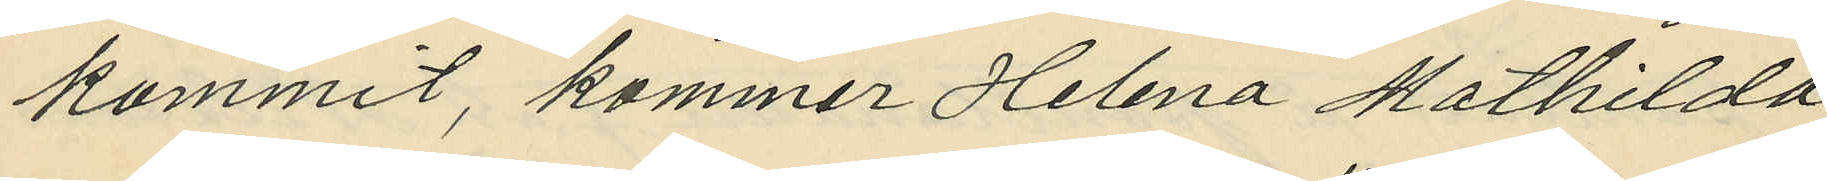kommit, kommer Helena Mathilda
